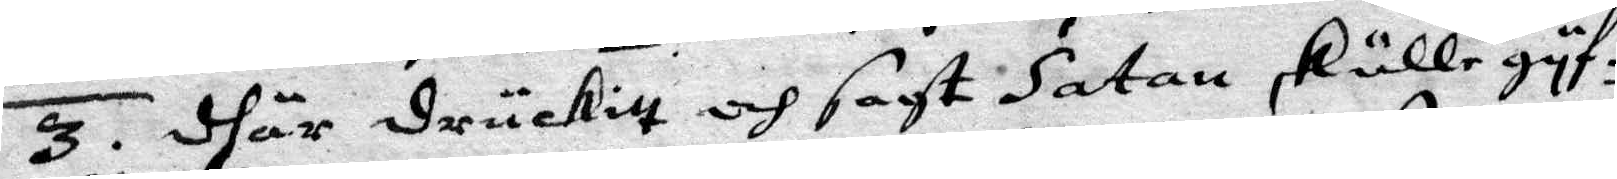3. dhär druckitt och sagt Satan skulle gyf¬
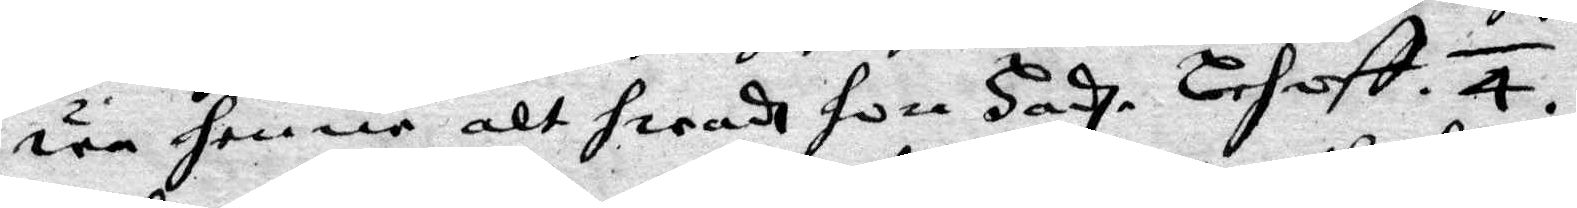wa henne alt hwadh hon hadhe Lehvft. 4. 
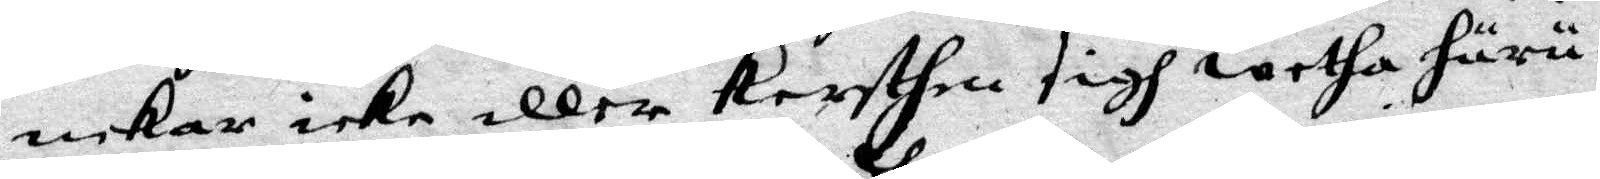nekar icke eller Kersthin sigh wetha huru¬
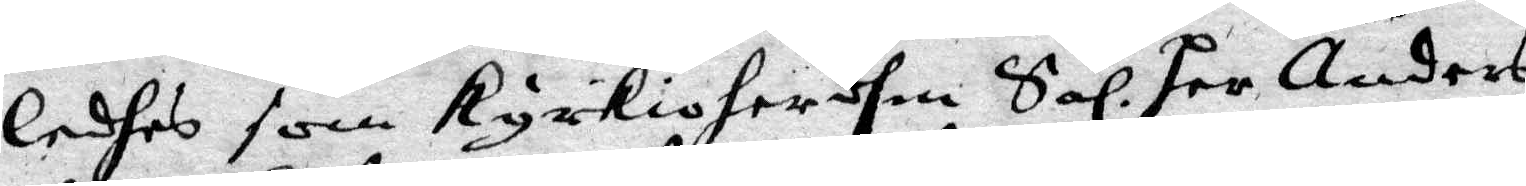ledhes som kyrkioherdhen Sal. Per Anders
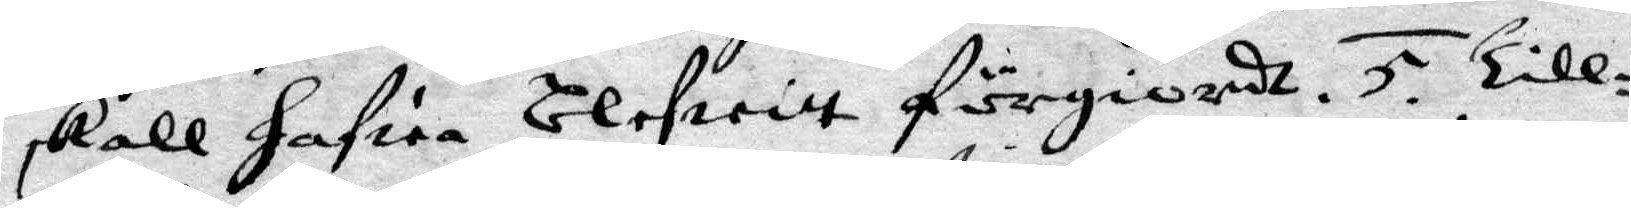skall hafwa blefwitt förgiordh. 5. Till¬
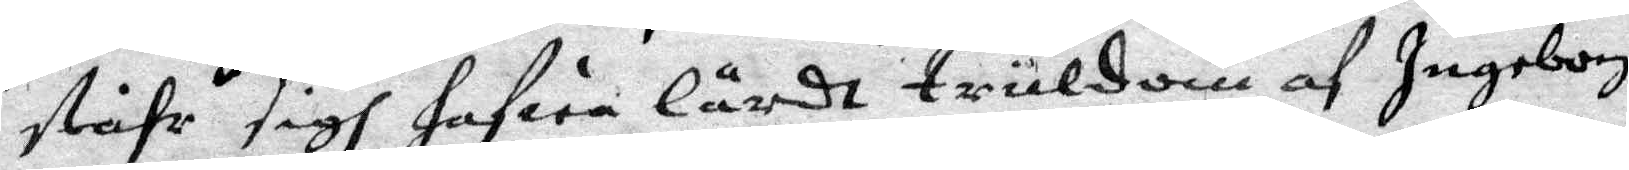ståhr sigh hafwa lärdt truldom af Ingeborg
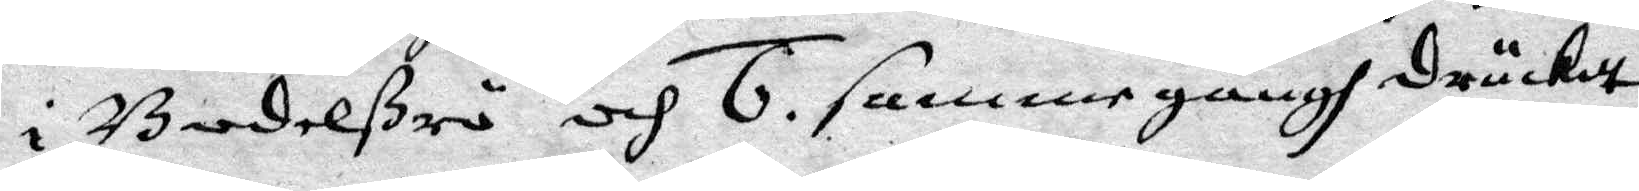i Budelßrö och 6. samme gångh druckitt
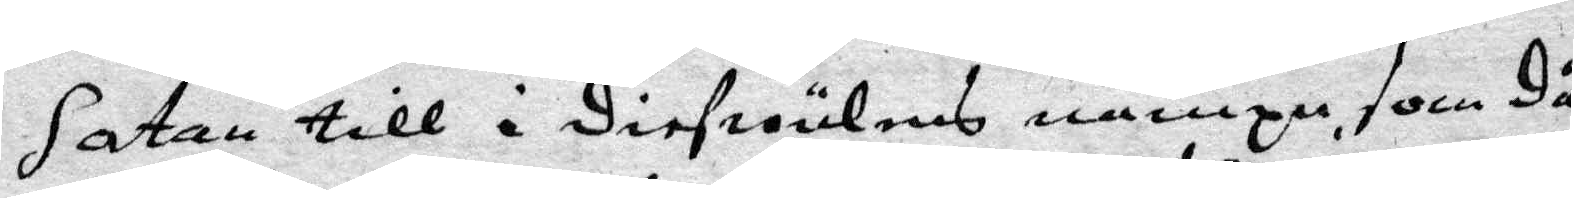Satan till i diefwulens nampn, som då
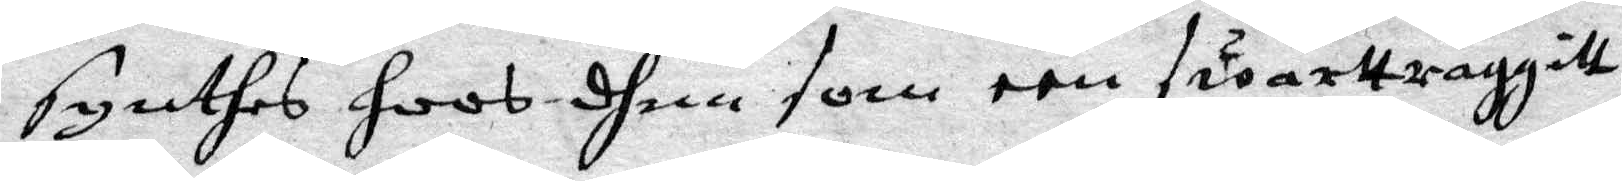synthes hoos dhem som een swarttraggitt
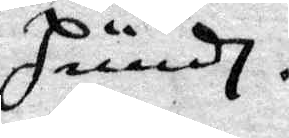hundh.
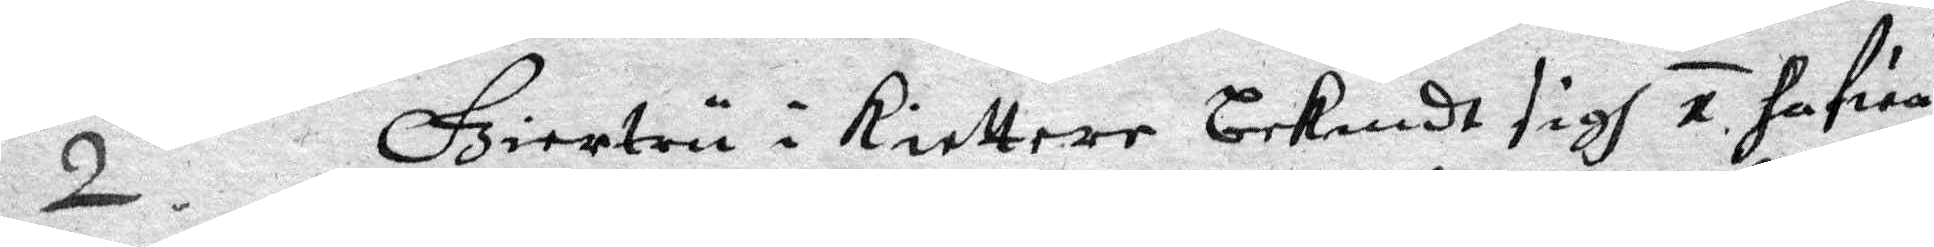2. Giertru i Riettere bekendt sigh 1. hafwa
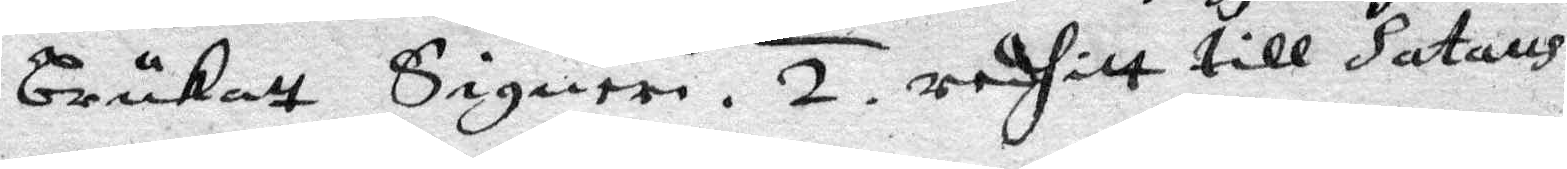brukatt Signeri. 2. redhitt till Satans
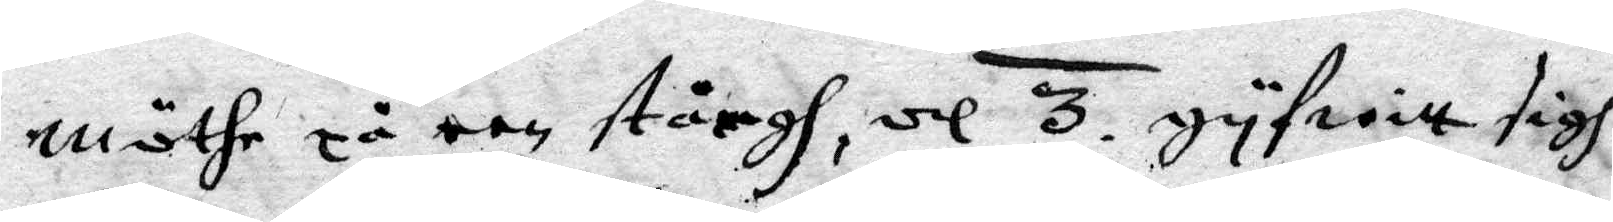möthe på een stångh, och 3. gyfwitt sigh
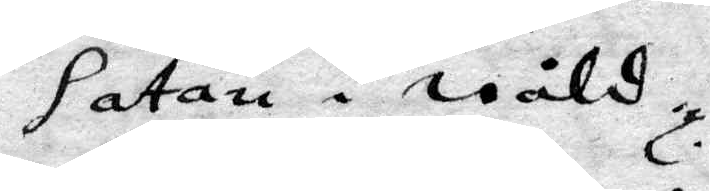Satan i wåld.
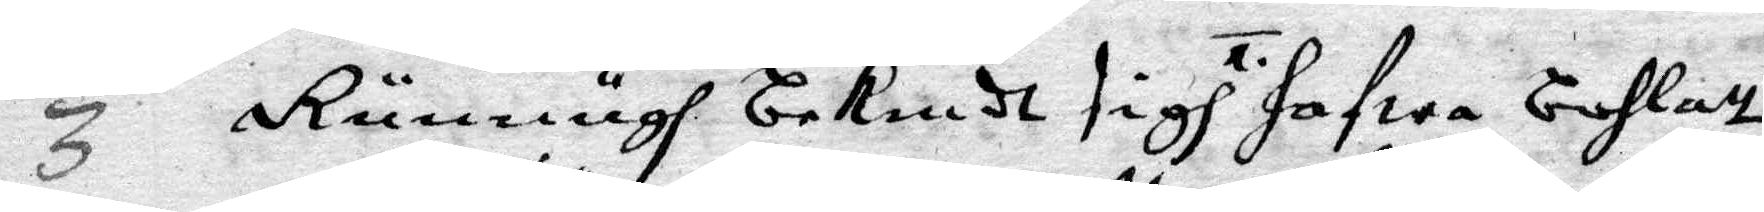3 Runnugh bekendt sigh 1. hafwa bohlatt
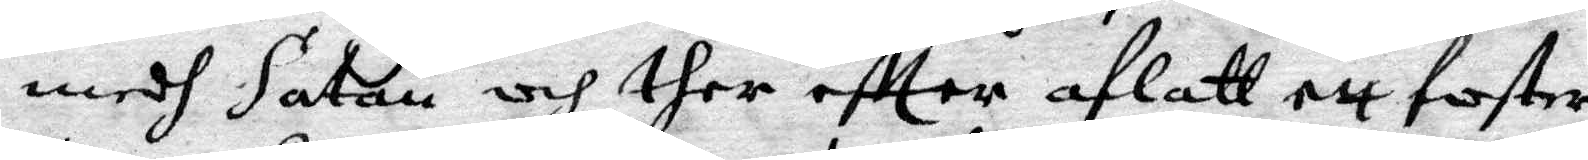medh Satan och ther eftter aflatt ett foster
